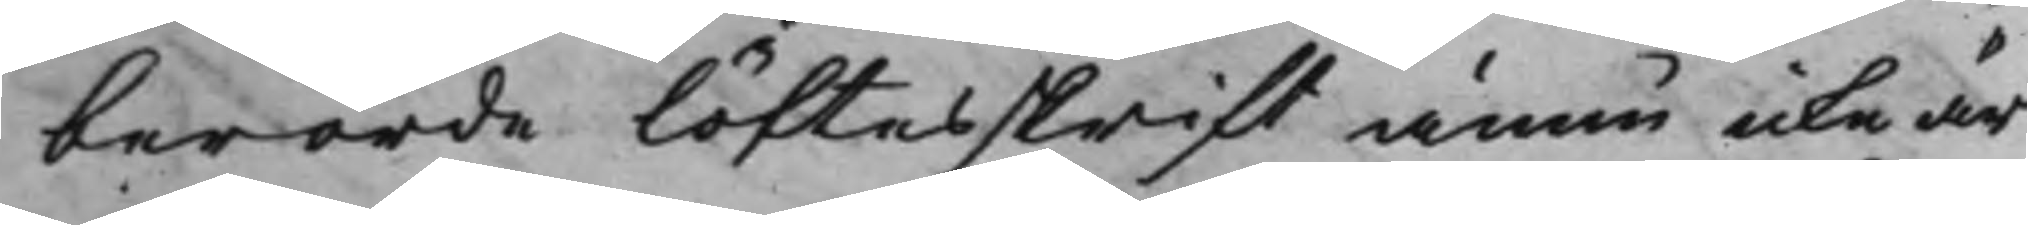berörde löftesskrift ännu icke är
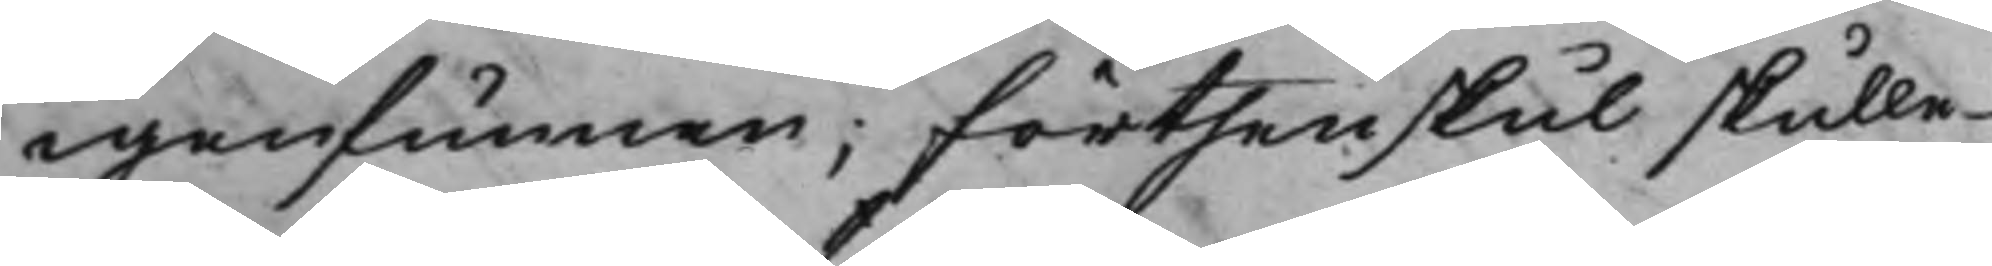igenfunnen; Förthenskul skulle
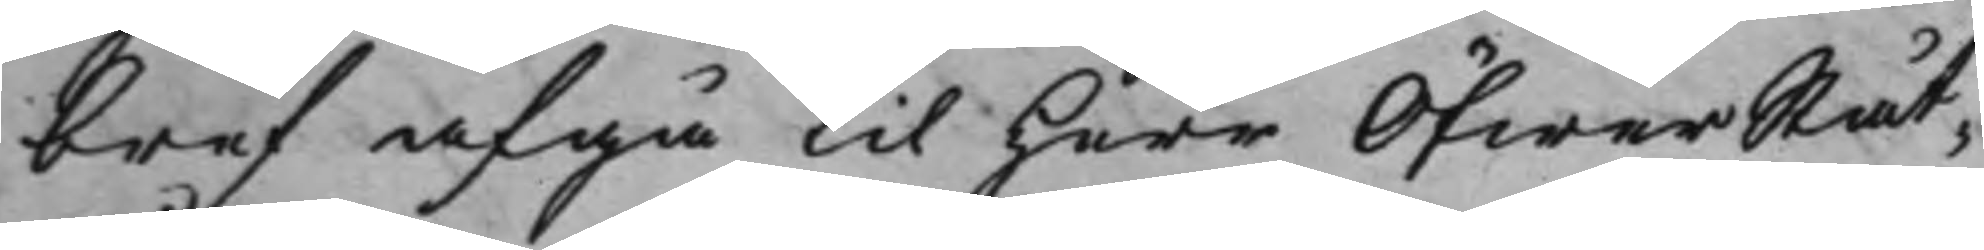bref afgå til Herr ÖfwerStåt¬
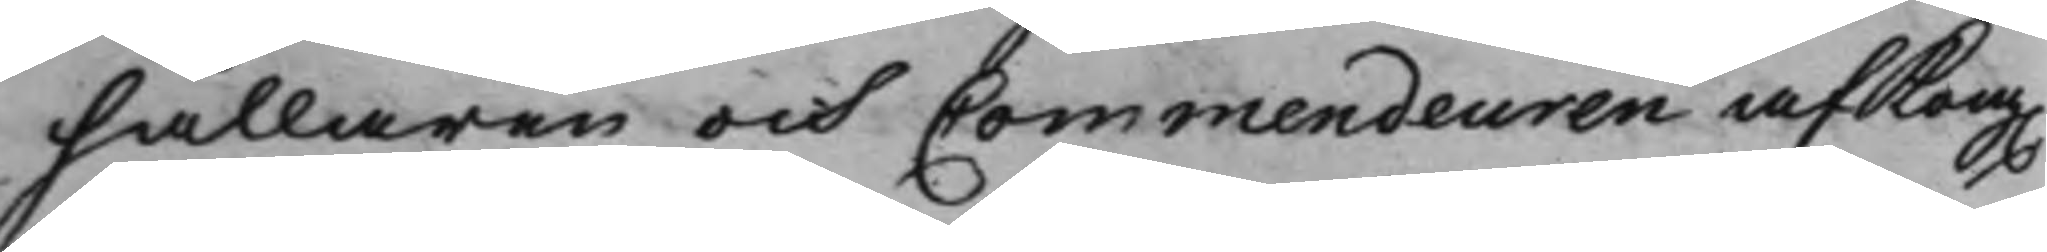hållaren och Commendeuren af Kong.
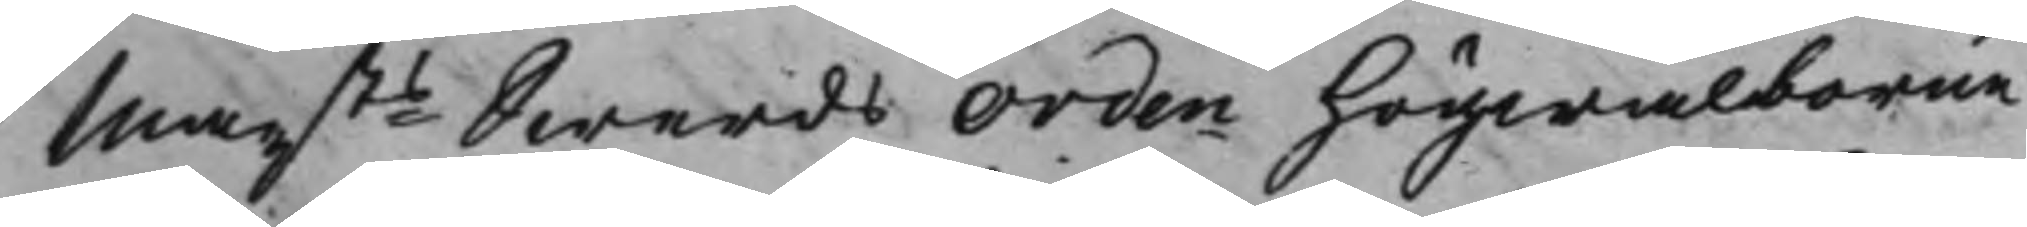Maysts Swerds Orden högwälborne
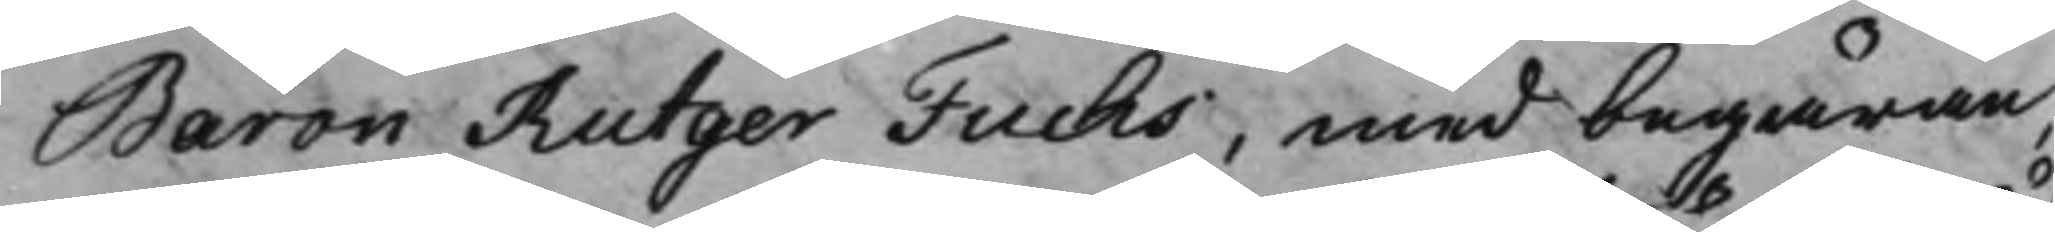Baron Rutger Fuchs, med begäran,
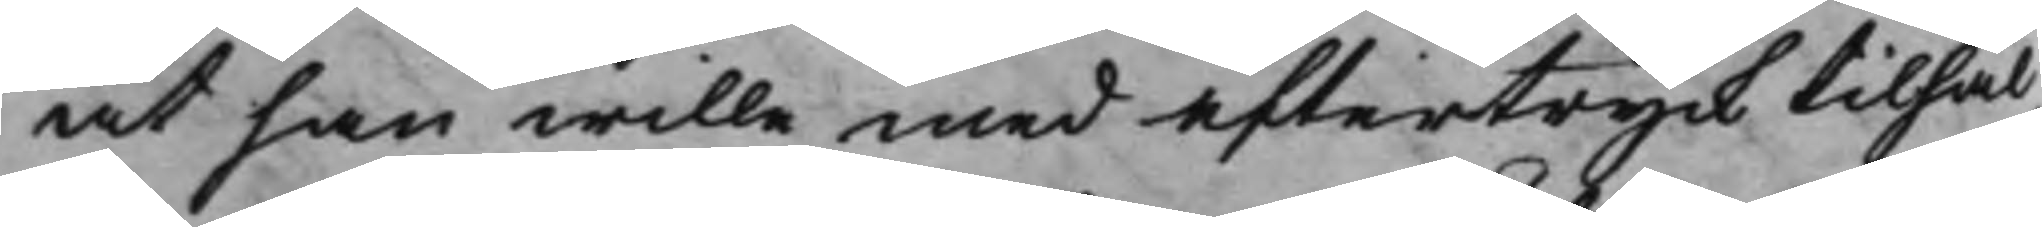at han wille med eftertryck tilhål¬
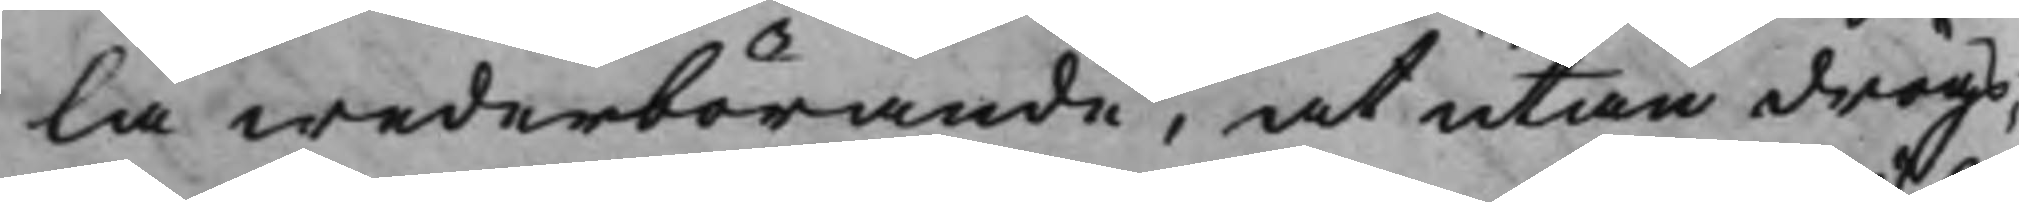la wederbörande, at utan drögs¬
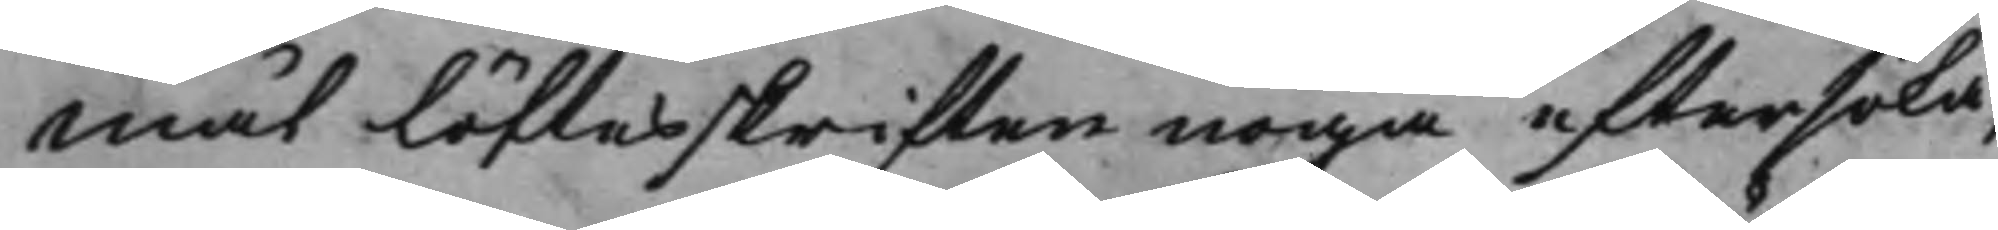mål löftesskriften noga eftersöka,
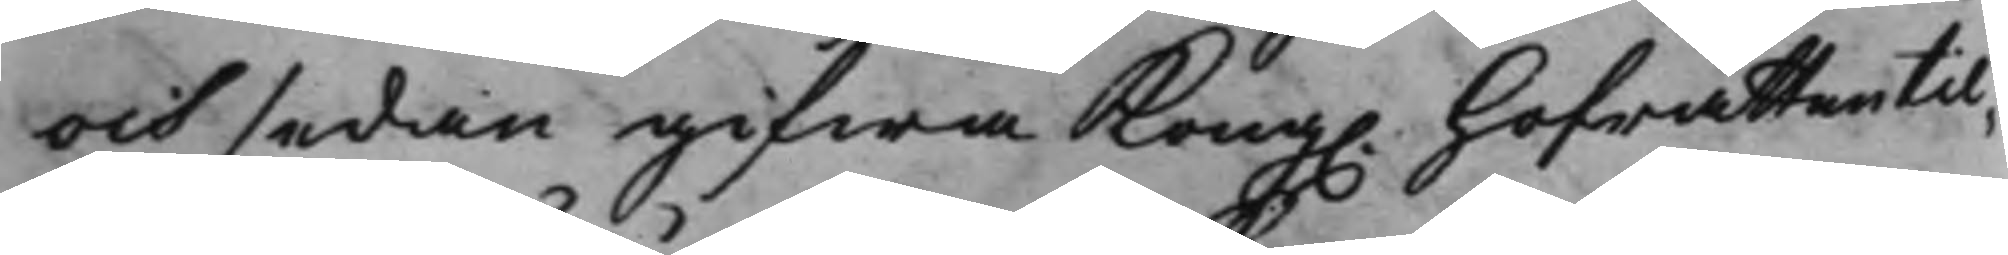och sedan gifwa Kong. hofrätten til¬
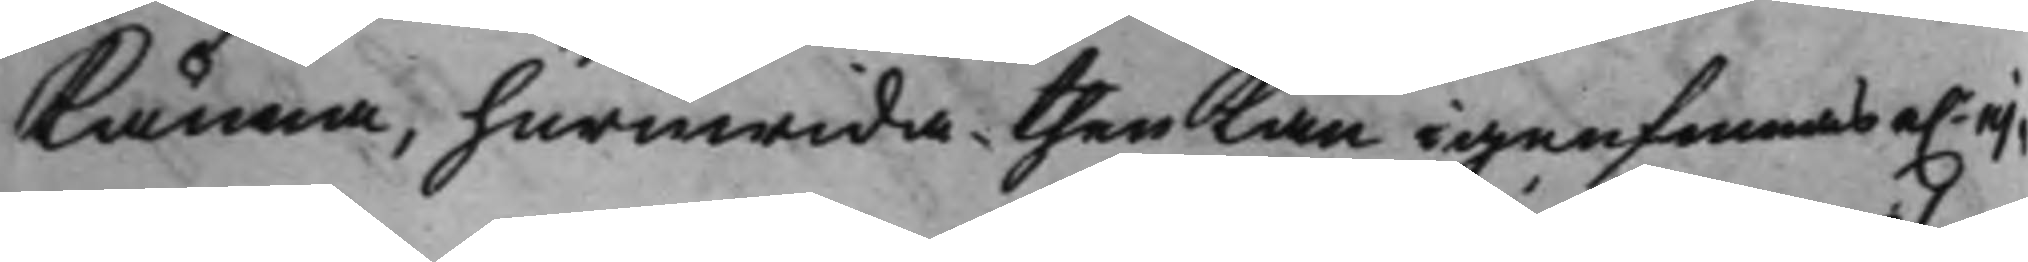Känna, huruwida then kan igenfinnas e.r ej
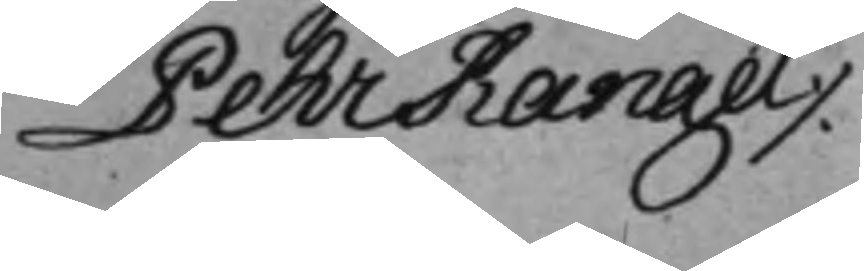Pehr Rangel ./.
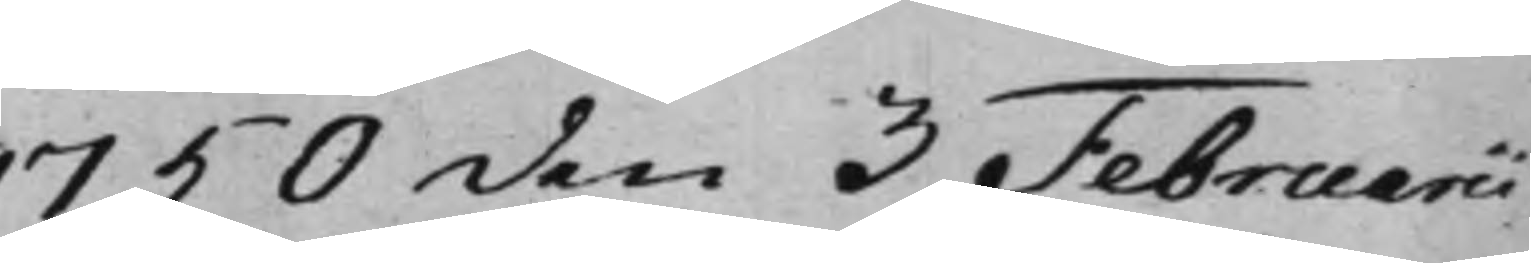1730 den 3 Februarii
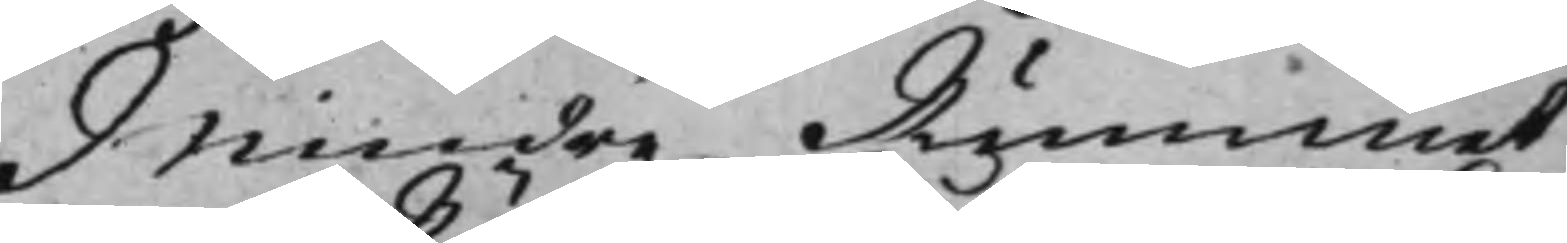Mindre Rummet
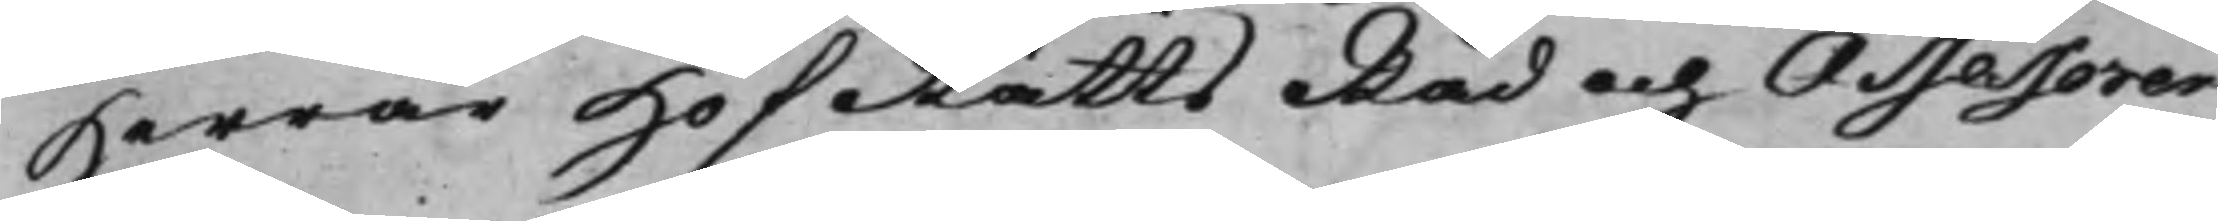Herrar HofRätts Råd och Assessorer
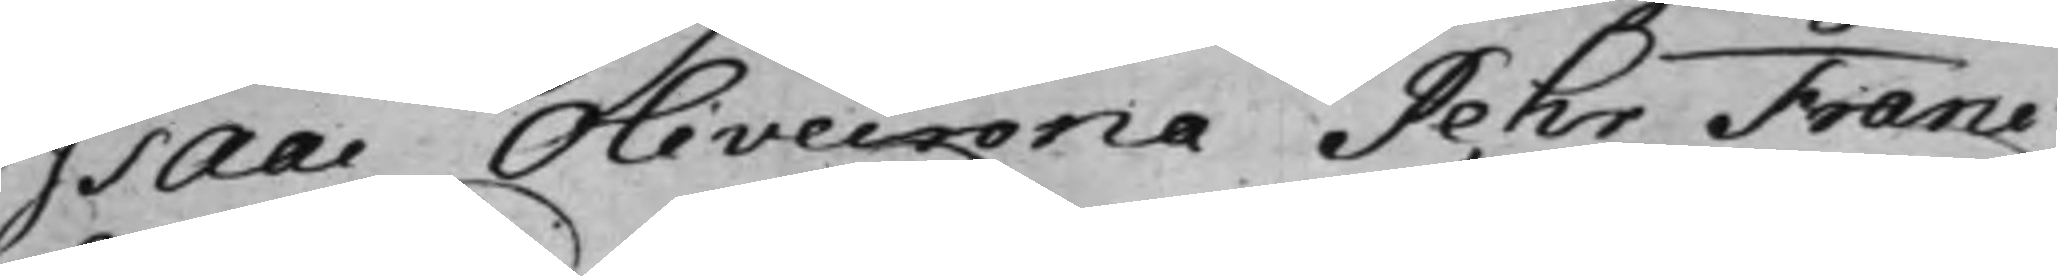Isaac Olivecrona Pehr Franc
